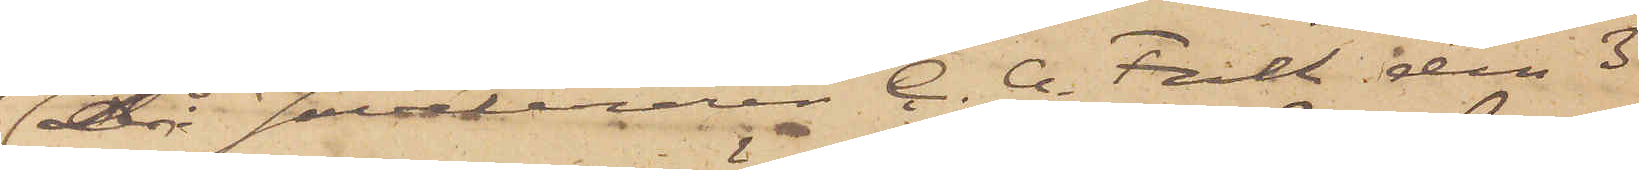då Juveleraren C. G. Falk den 3
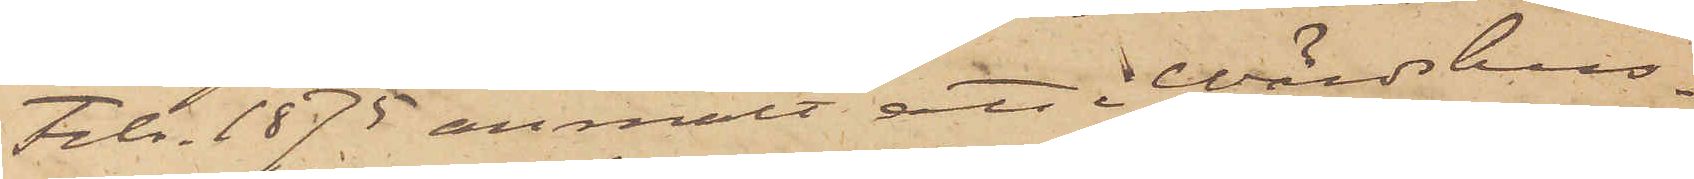Febr. 1875 anmält att i Wärdshus¬
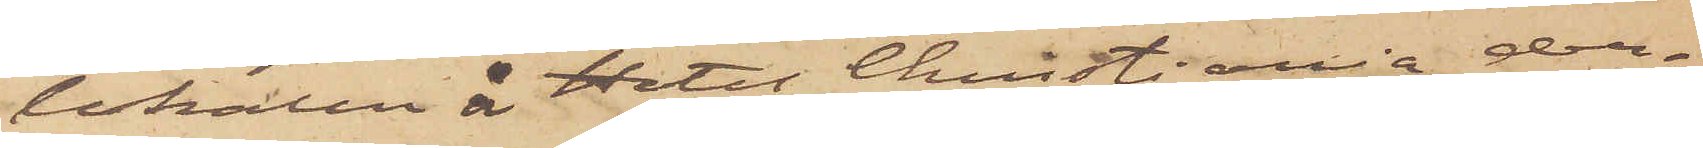lokalen å Hotel Christiania der¬
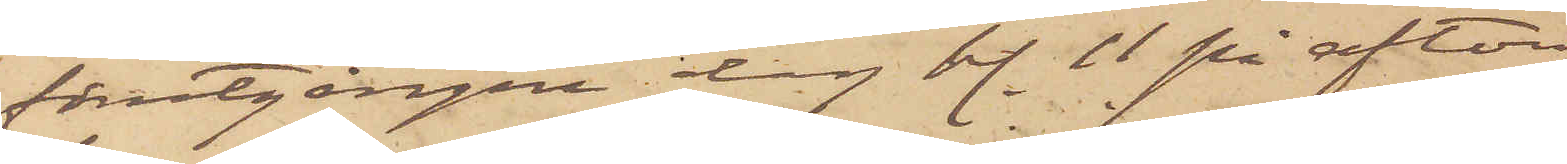förutgångne dag kl. 11 på afton
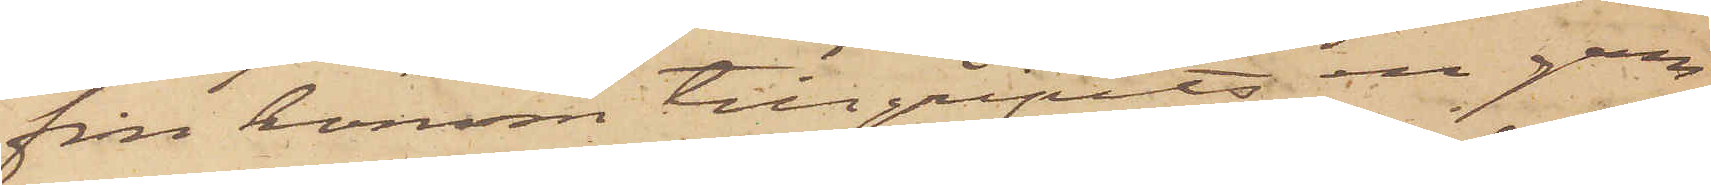från honom tillgripits en gam¬
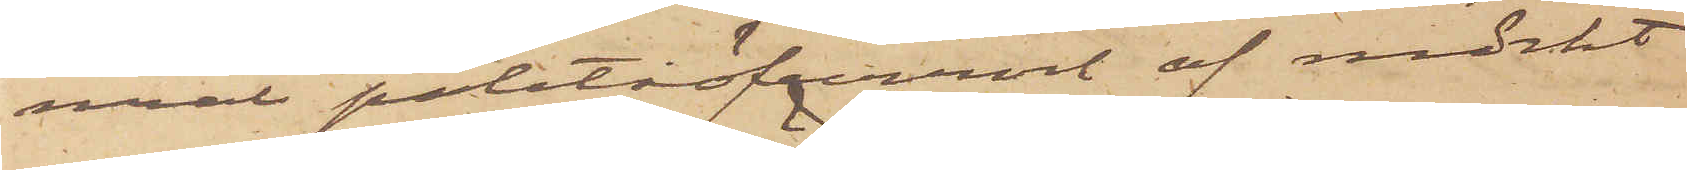mal paletåöfverrock af mörkt
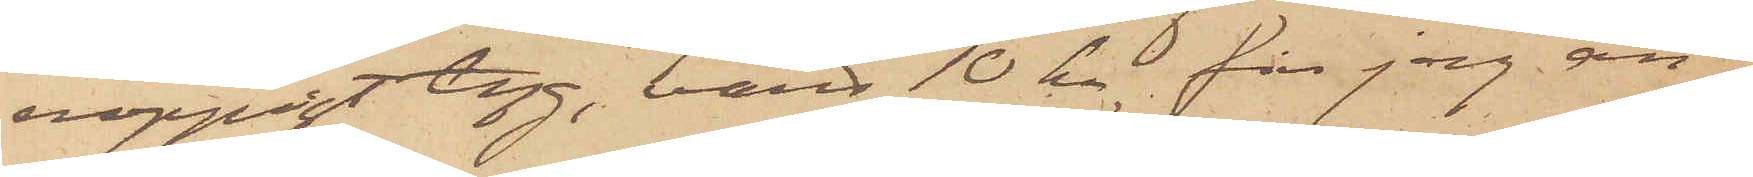noppigt tyg, värd 10 kr, får jag an¬
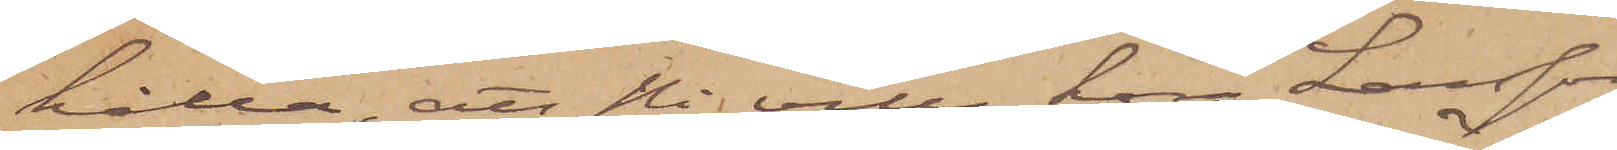hålla, att Ni ville höra Larsson
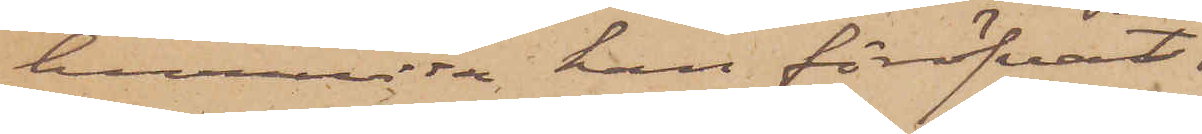huruvida han föröfvat
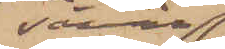såväl
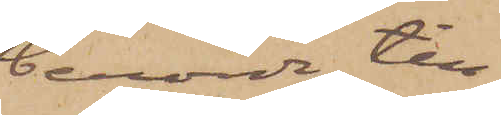berörde till¬
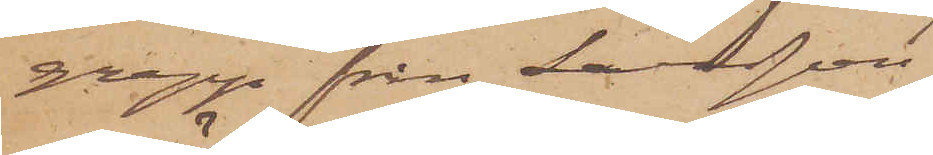grepp från Larsson som
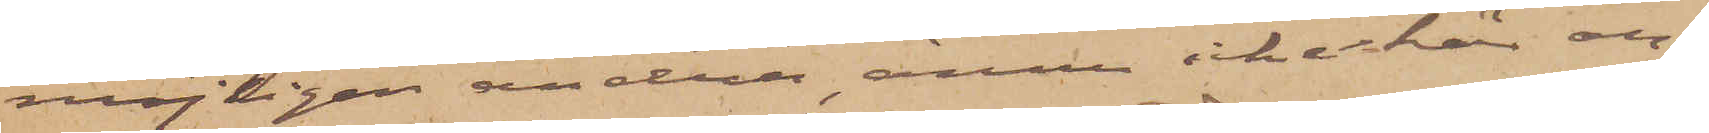möjligen andra, ännu icke här an¬
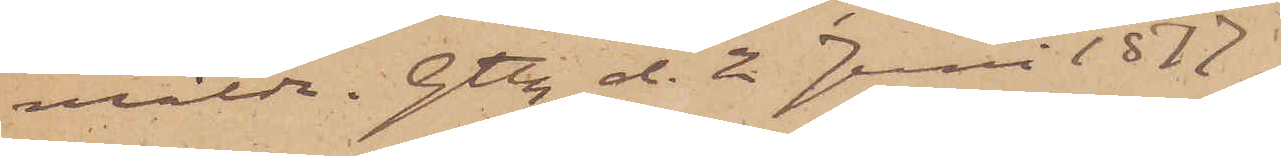mälda. Gtbg d. 2 Juni 1877.
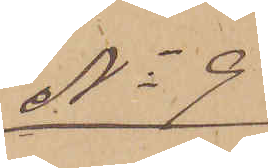No 9
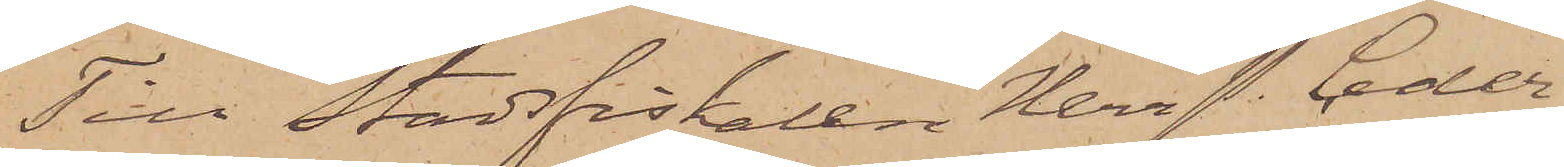Till Stadsfiskalen Herr P. Ceder¬
